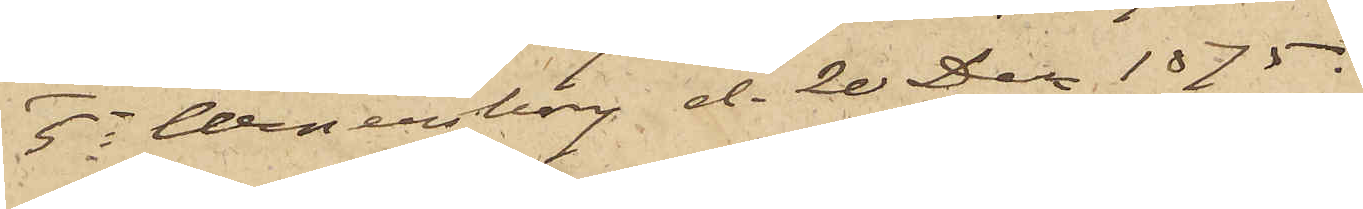5o Wenersborg d. 20 Dec 1875.
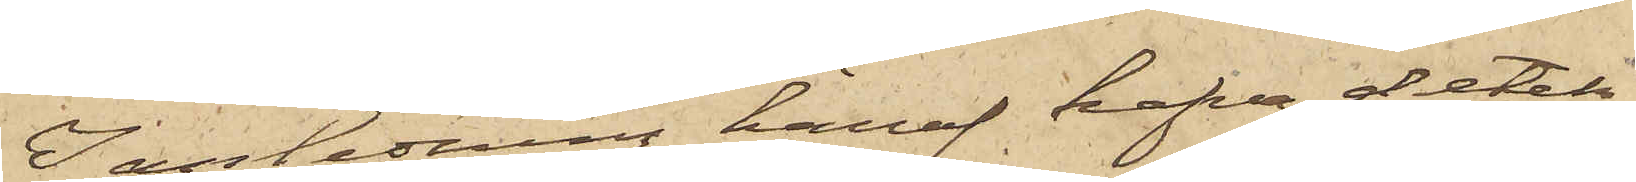I anledning häraf hafva detek¬
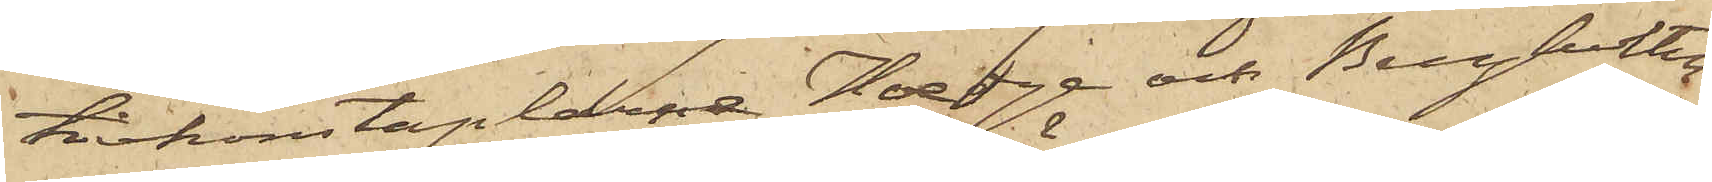tivkonstaplarne Hedge och Bergholtz
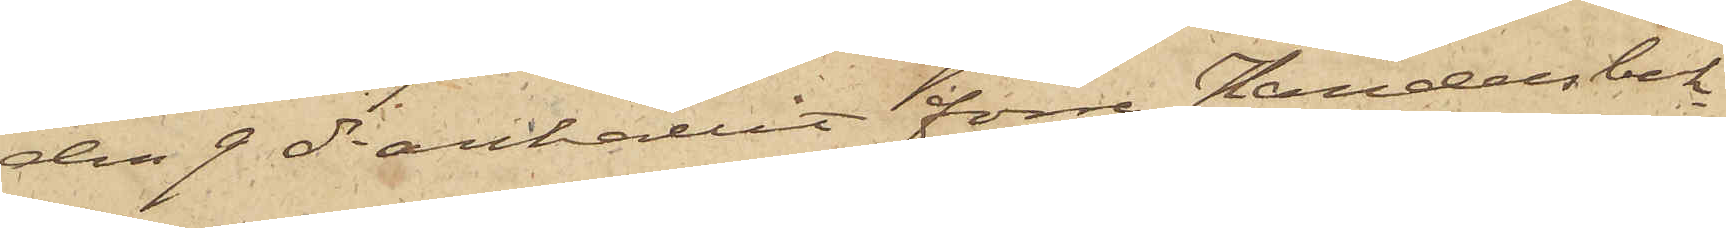den 9 ds anhållit förre Handelsbok¬
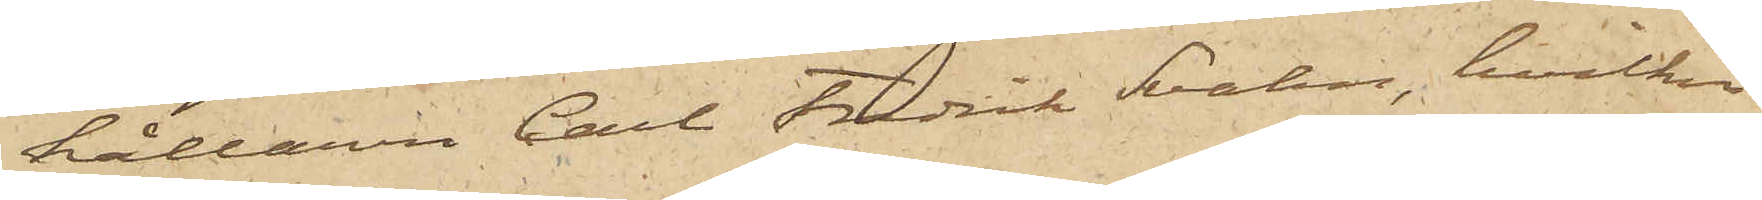hållaren Carl Fredrik Svahn, hvilken
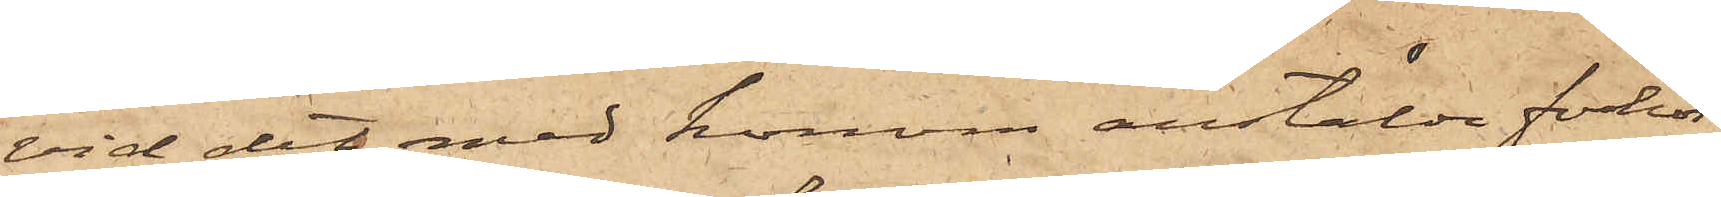vid det med honom anstälde förhör
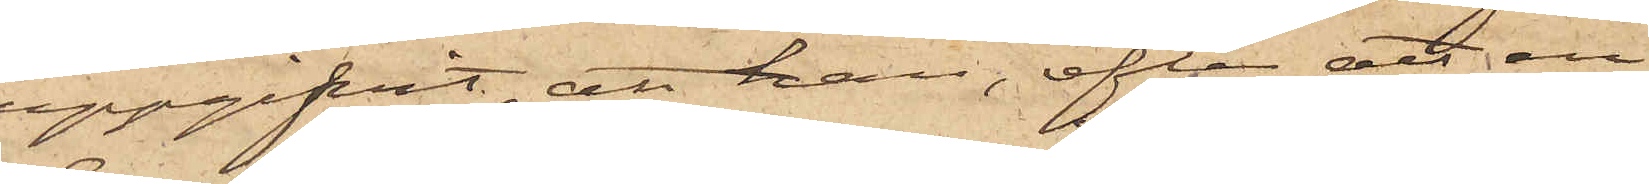uppgifvit, att han, efter att en
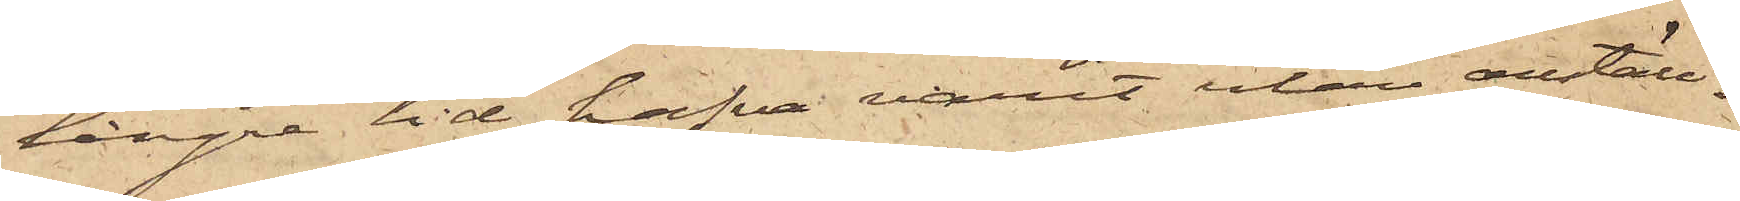längre tid hafva varit utan anställ¬
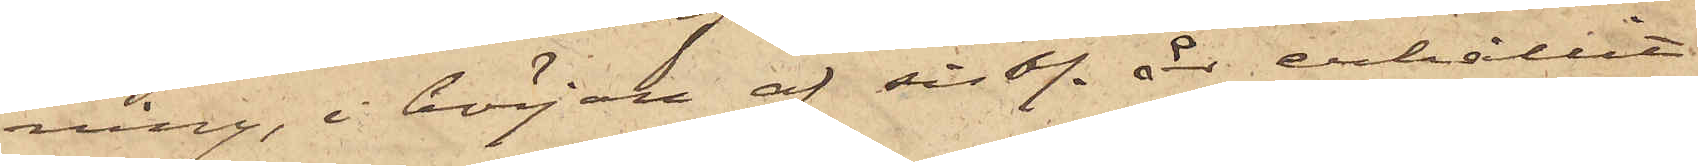ning, i början af sist. år erhållit
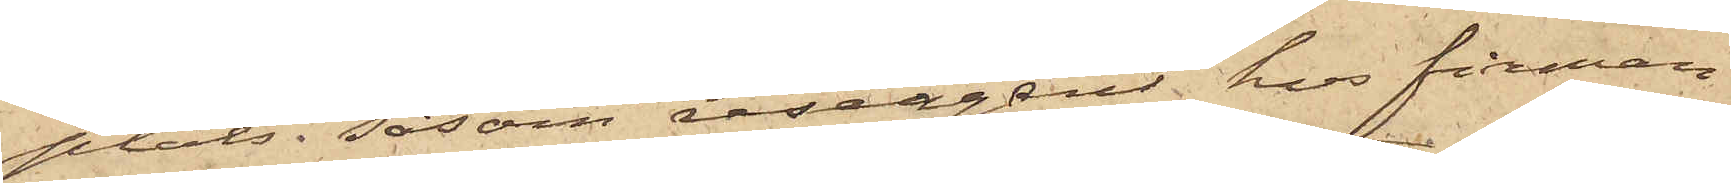plats, såsom reseagent hos firman
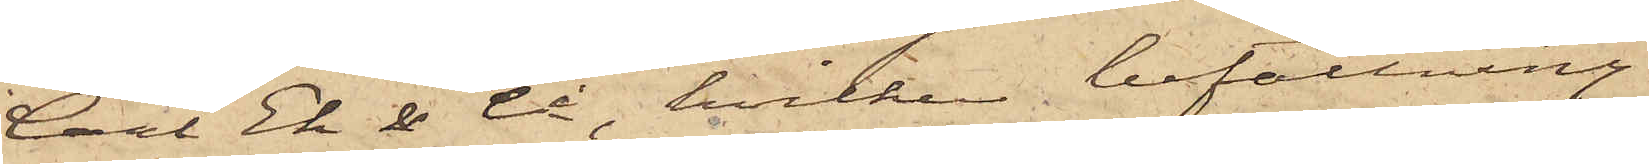Carl Ek & Co, hvilken befattning
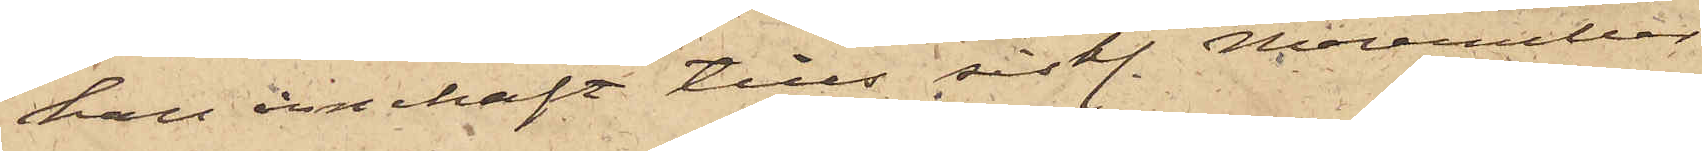han innehaft till sist. November
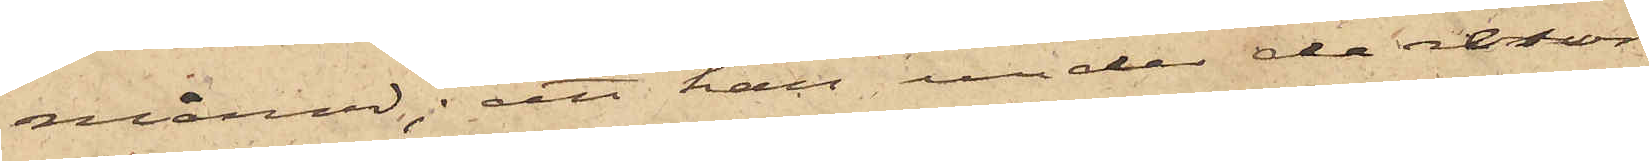månad; att han under de resor
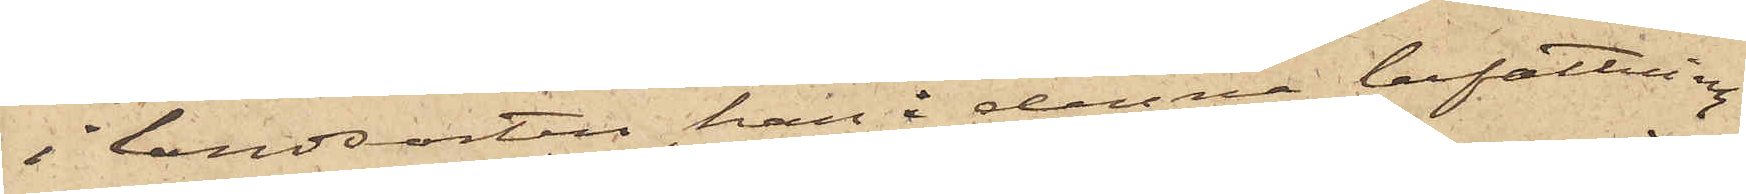i landsorten han i denna befattning
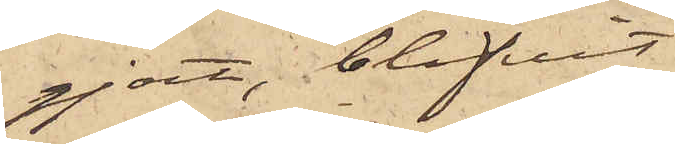gjort, blifvit
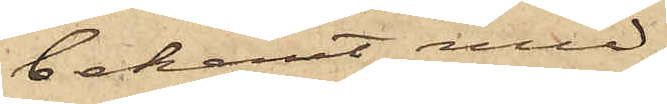bekant med
